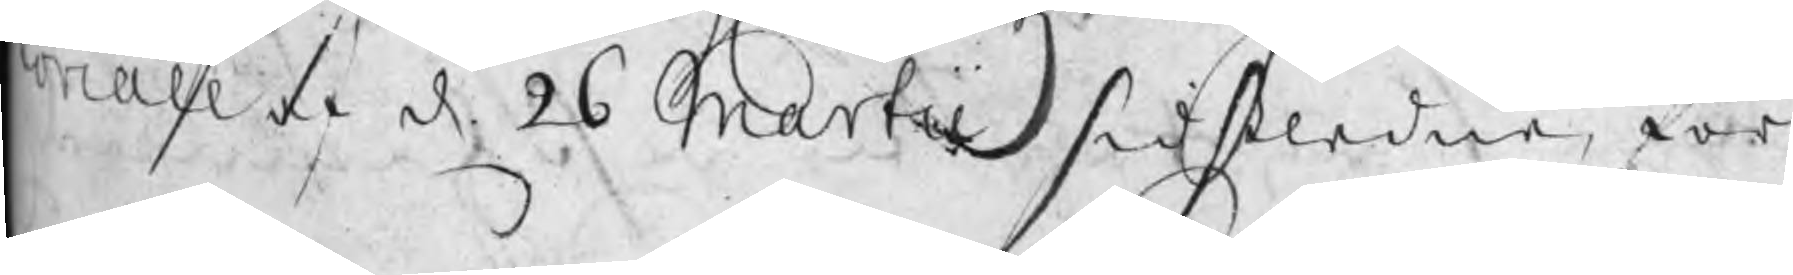toriall af d 26 Martii sidstledne, för
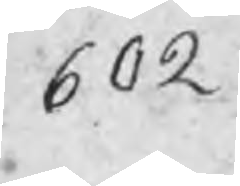602
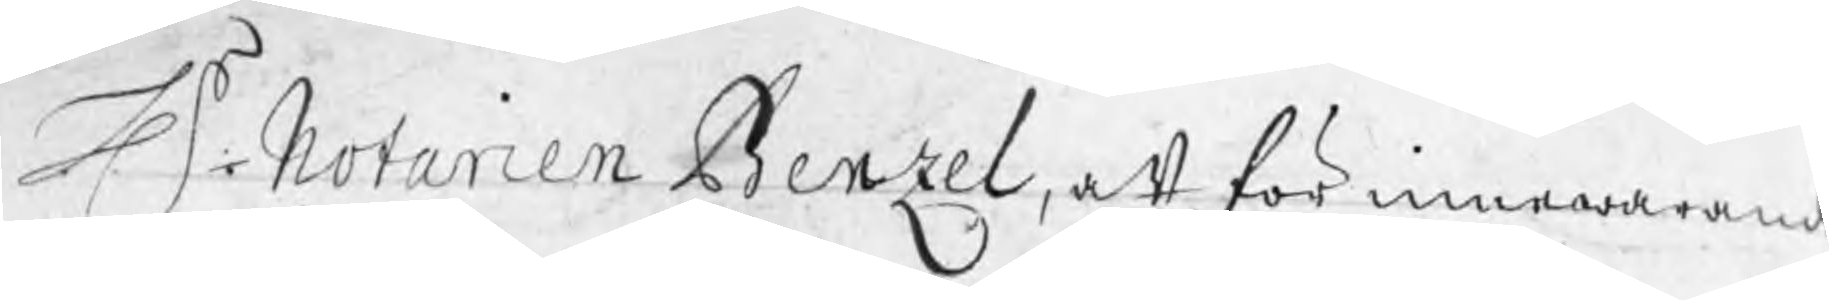Hr Notarien Benzel, att för innewarande 
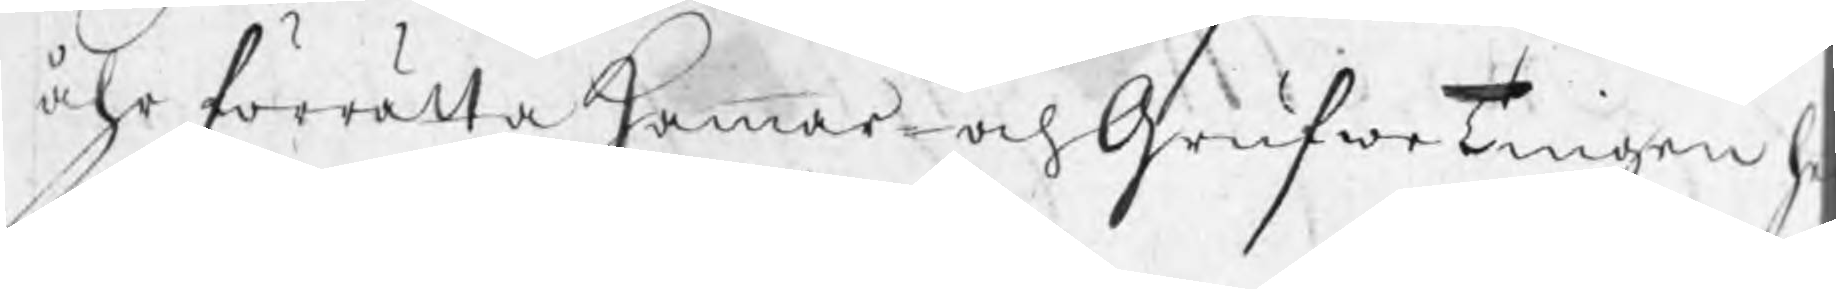åhr förrätta Hammar- och GrufweTingen h
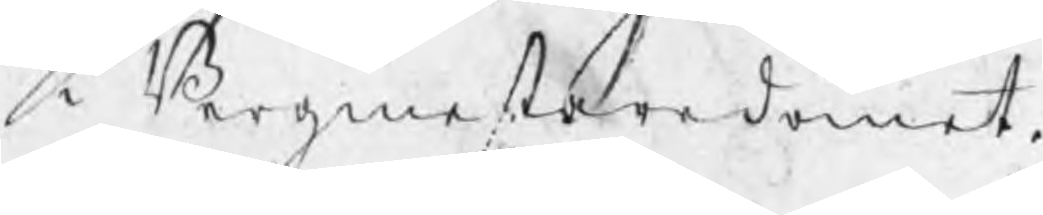i Bergmestaredömet.
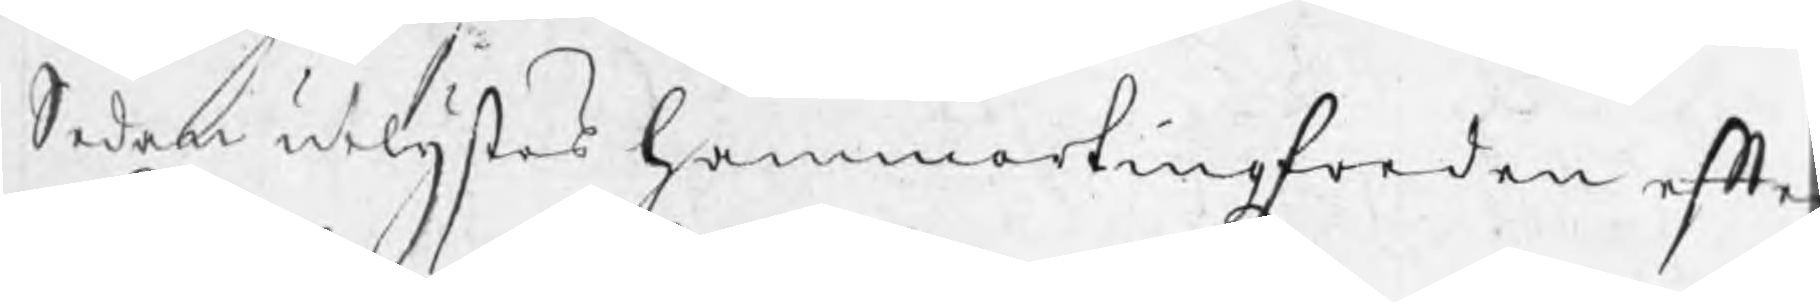Sedan utlystes hammartingzfreden efte
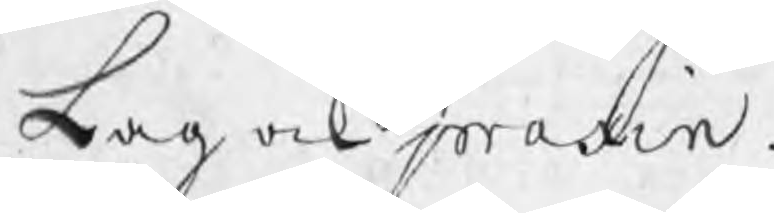Lag ock praxin.
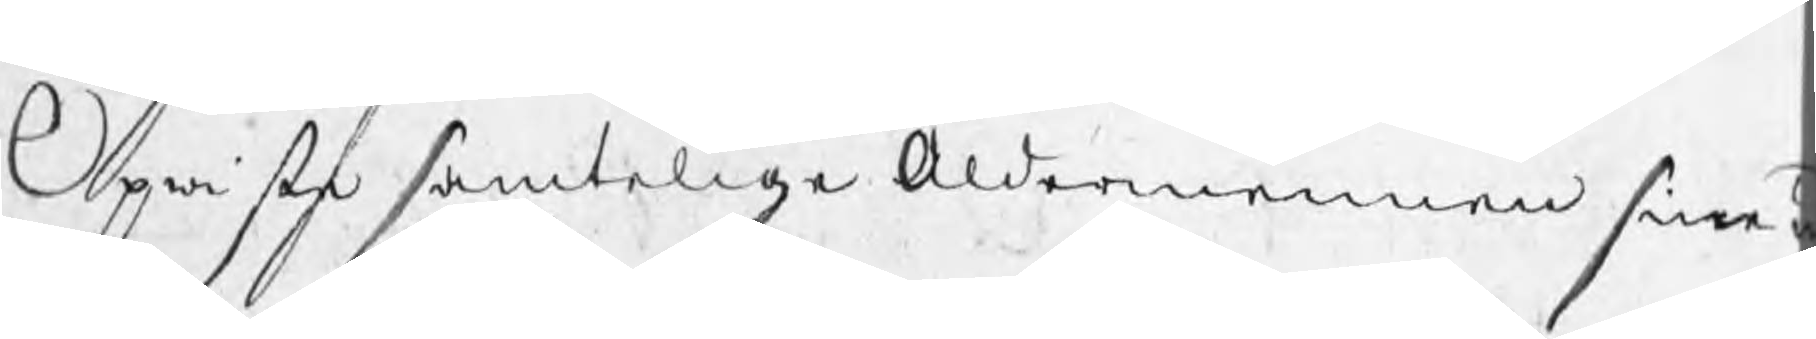Opwiste samtelige Åldermennen sine
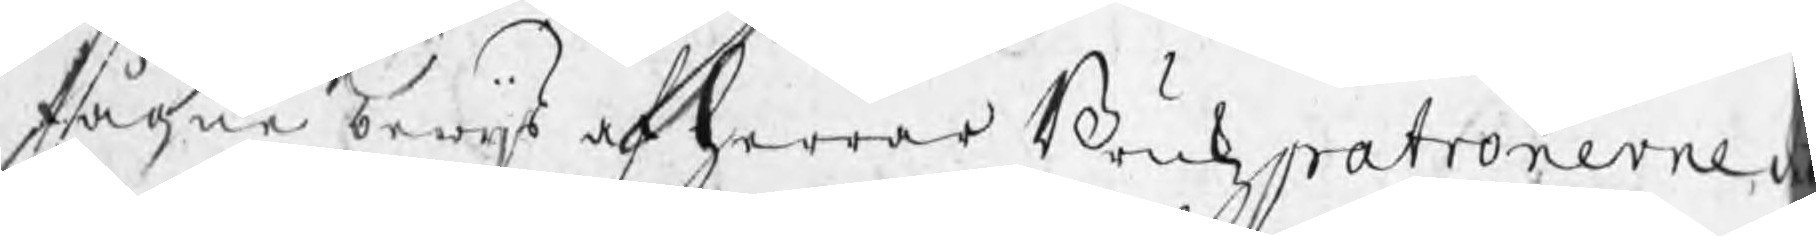stågne bewijs af herrar Brukzpatronerne d
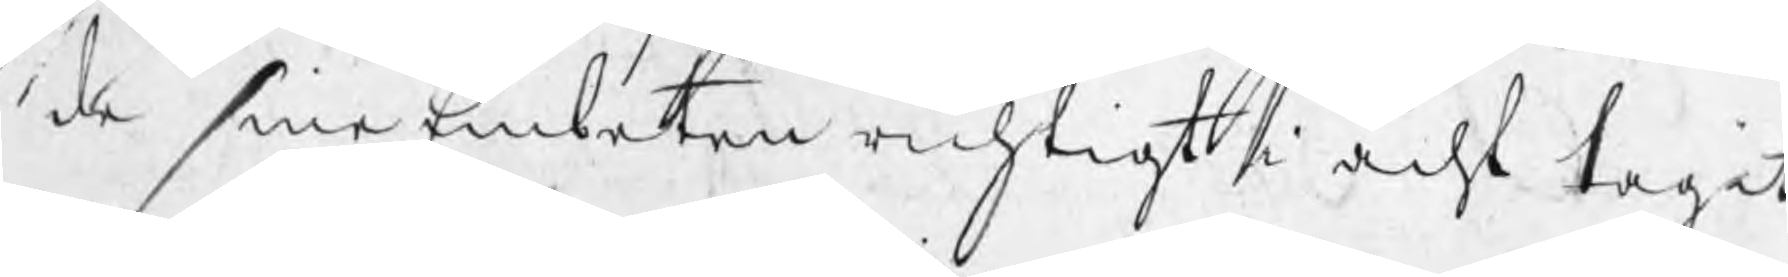de sine Embeten richtigt i acht tagit
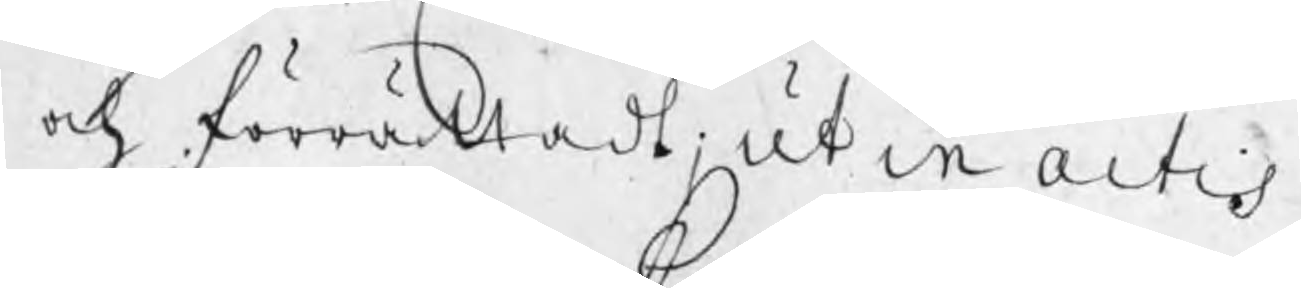och förrättadt; ut in actis.
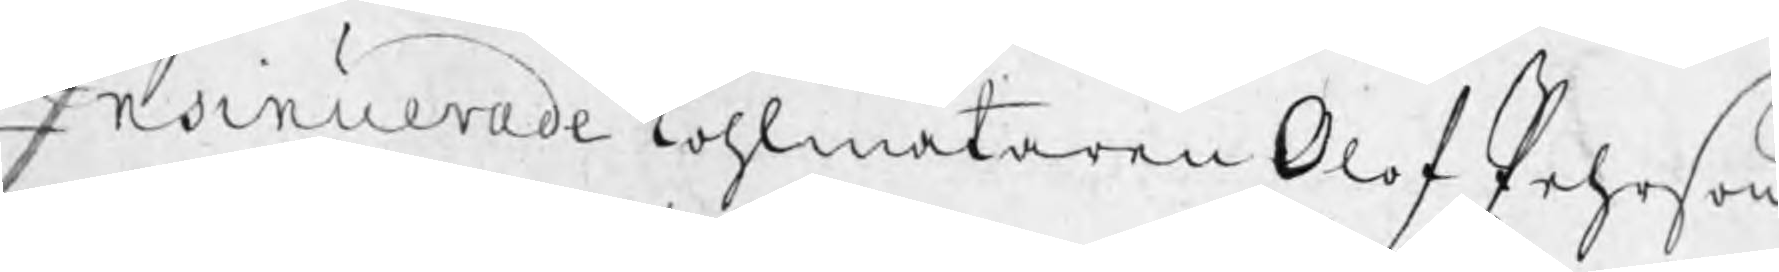Insinuerade kohlmätaren Olof Pehrson
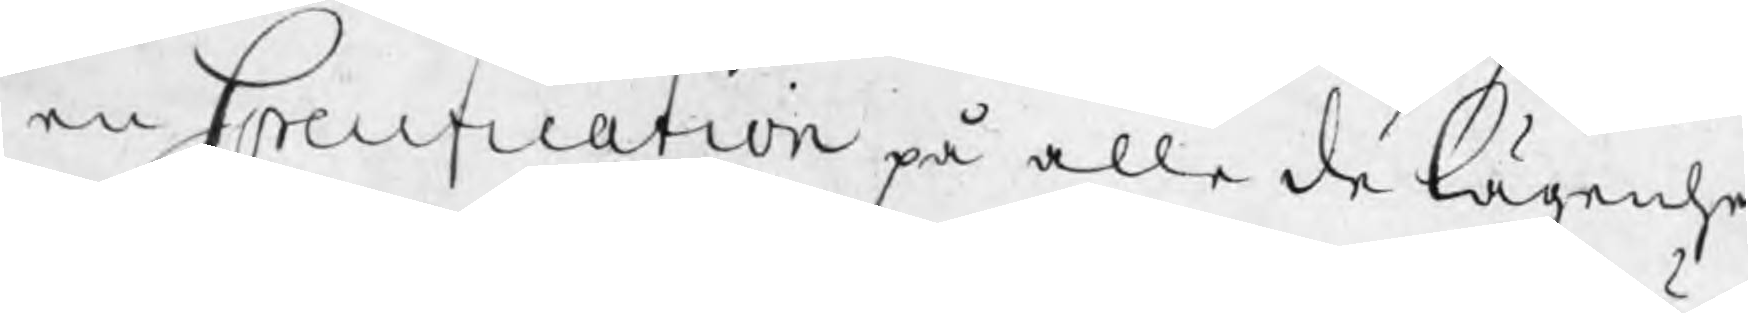en Specification på alle de lägenhe¬
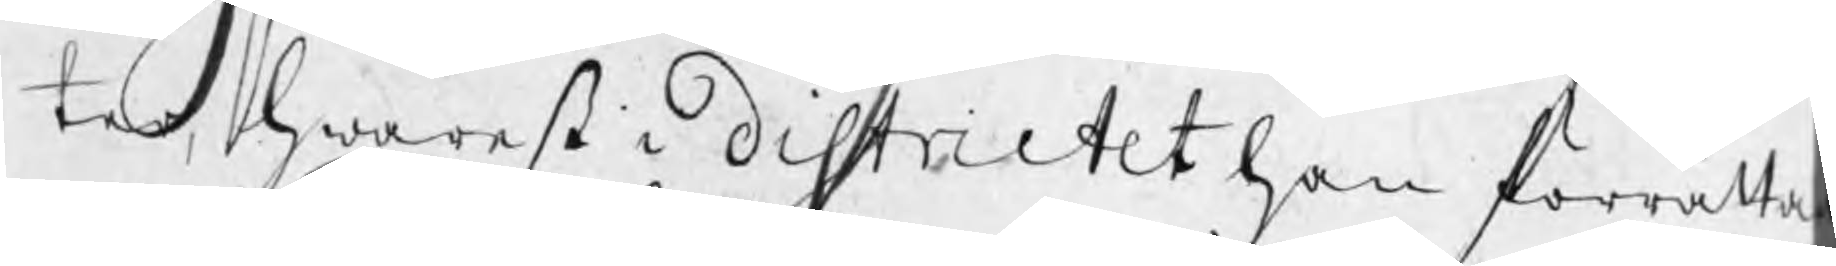ter, hwarest i Districtet han förrättat
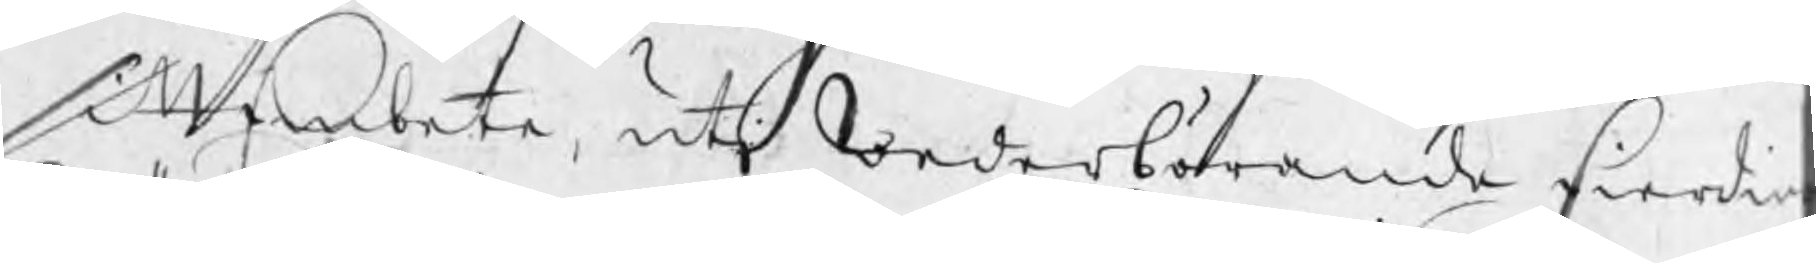sitt Embete, uti wederbörande fierdin
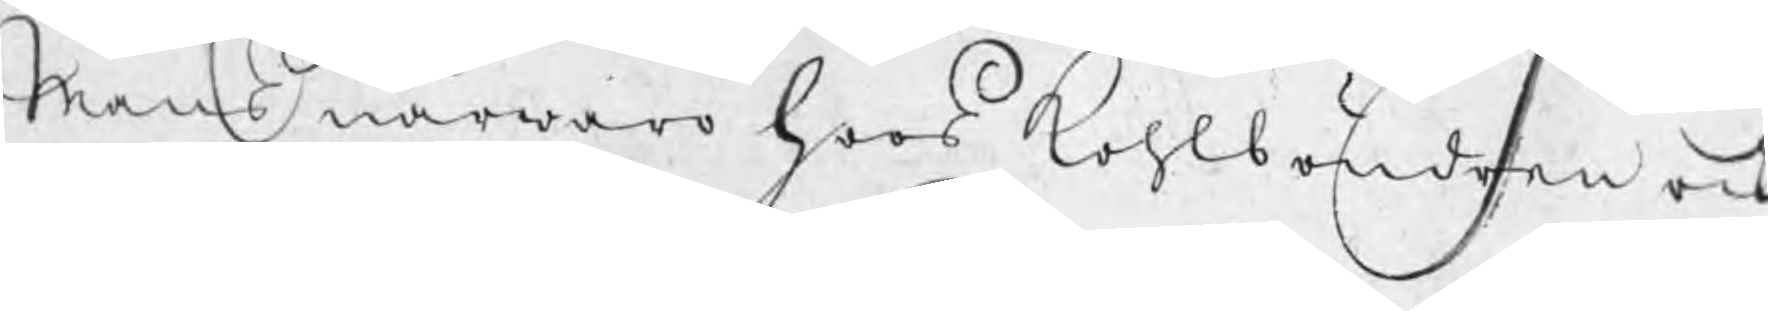mäns närwaro hoos kohlböndren ock
